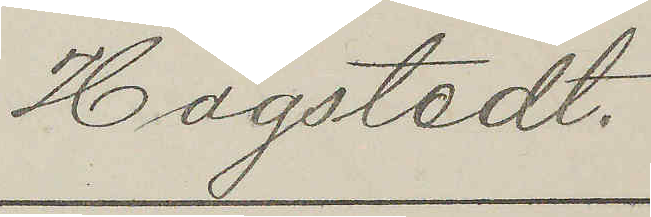Hagstedt.
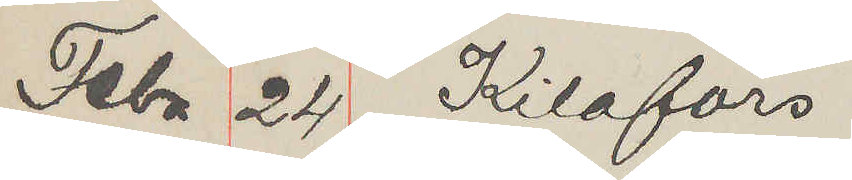Febr 24 Kilafors
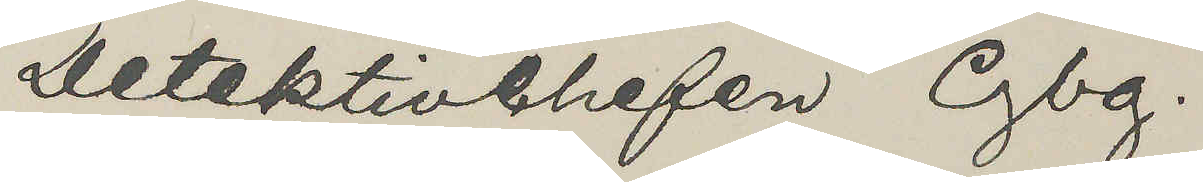Detektivchefen Gbg.
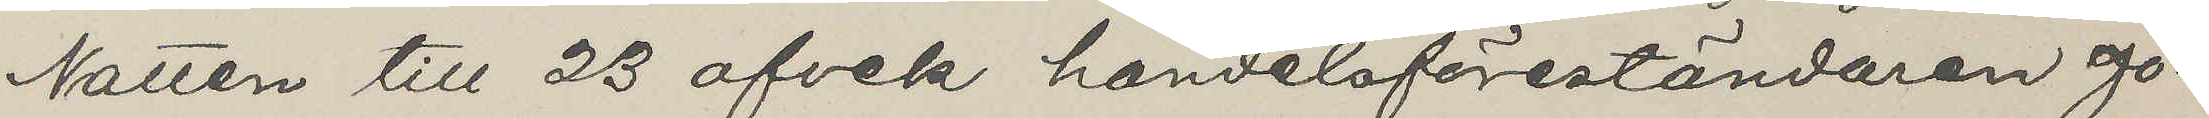Natten till 23 afvek handelsföreståndaren Jo¬
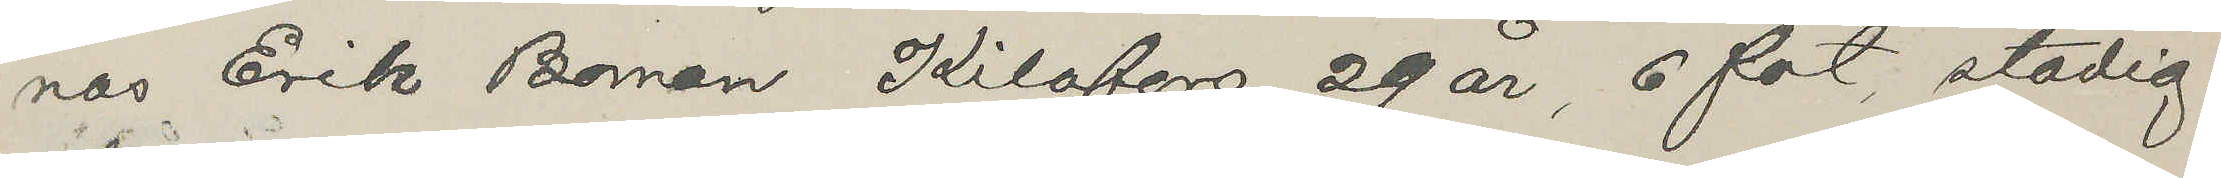nas Erik Boman Kilofors, 29 år, 6 fot, stadig
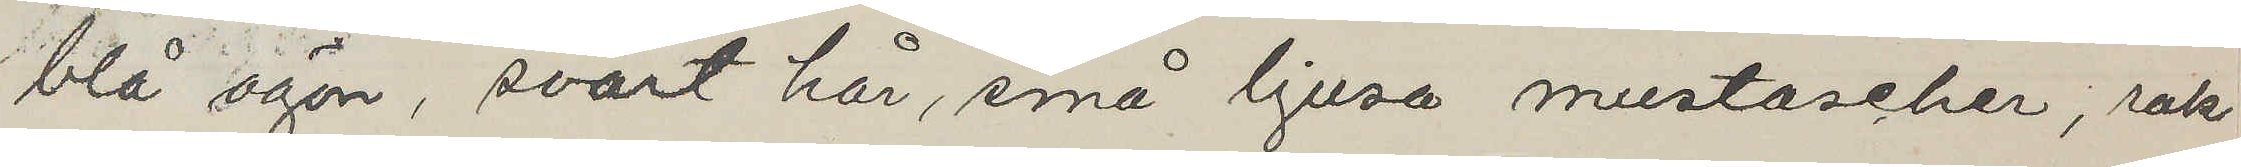blå ögon, svart hår, små ljusa mustascher, rak
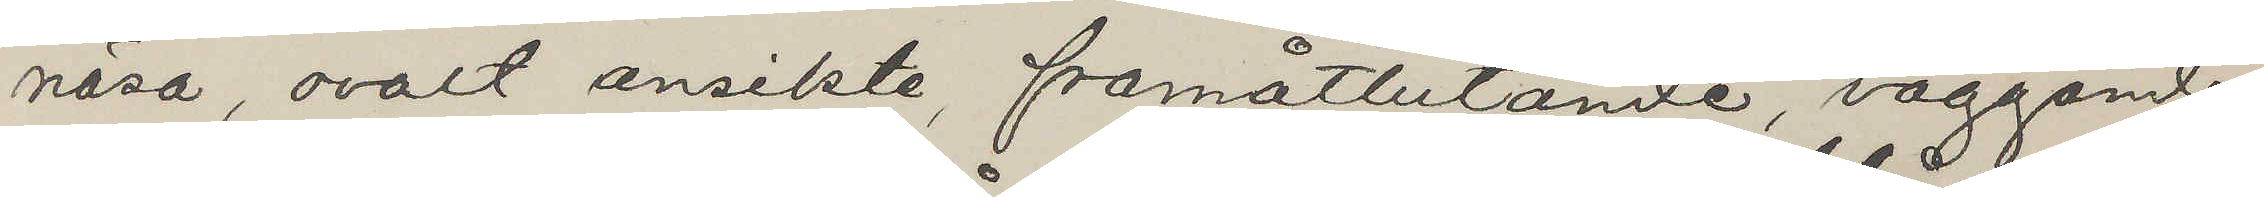näsa, ovalt ansikte, framåtlutande, vaggande
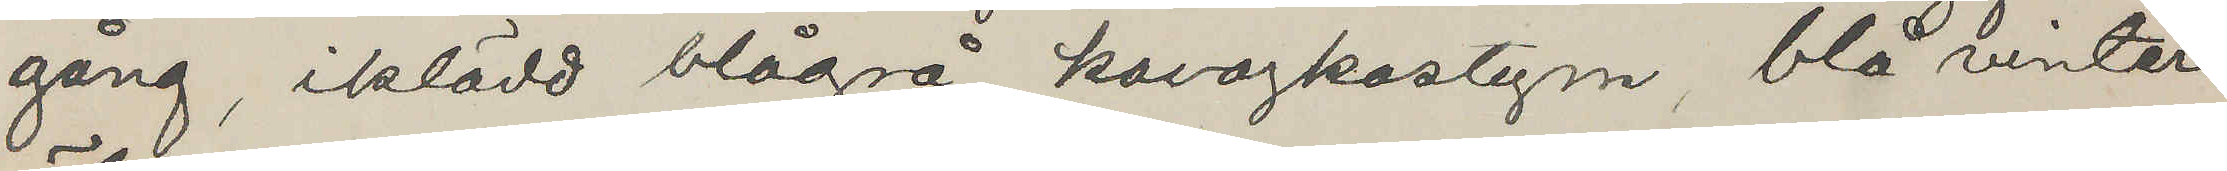gång, iklädd blågrå kavajkostym, blå vinter
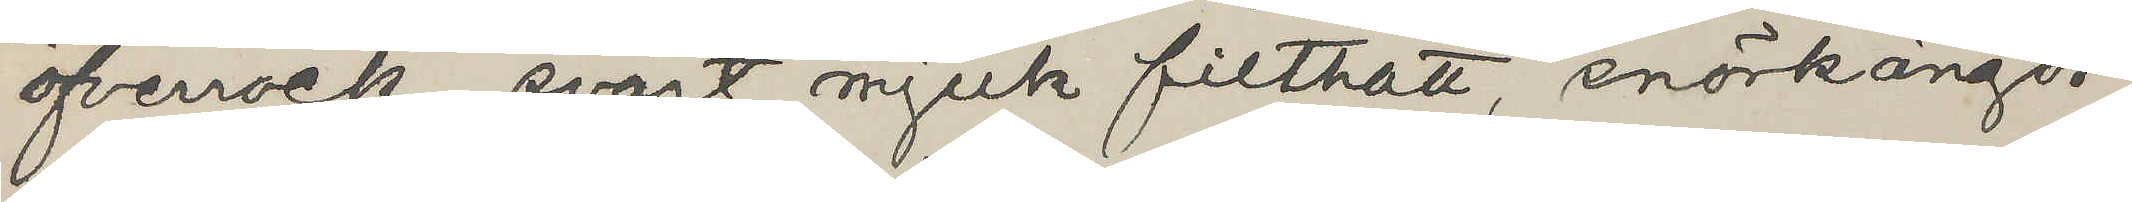öfverrock, svart mjuk filthatt, snörkängor
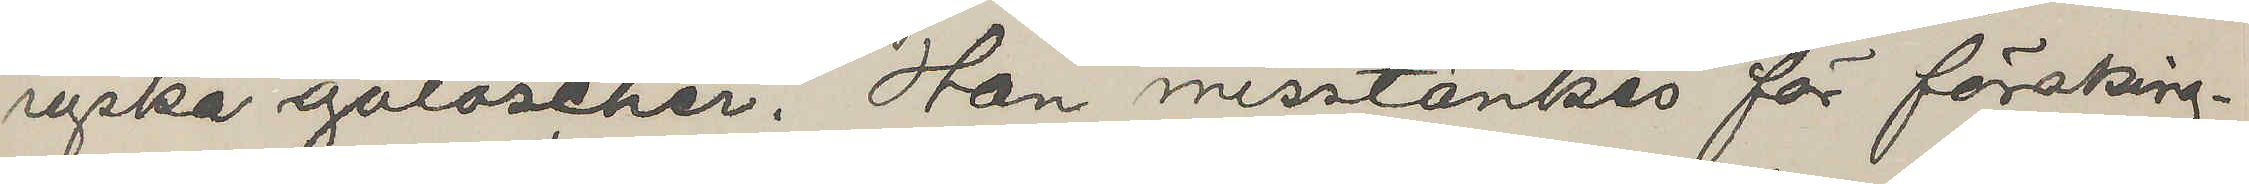ryska galoscher. Han misstänkes för försking¬
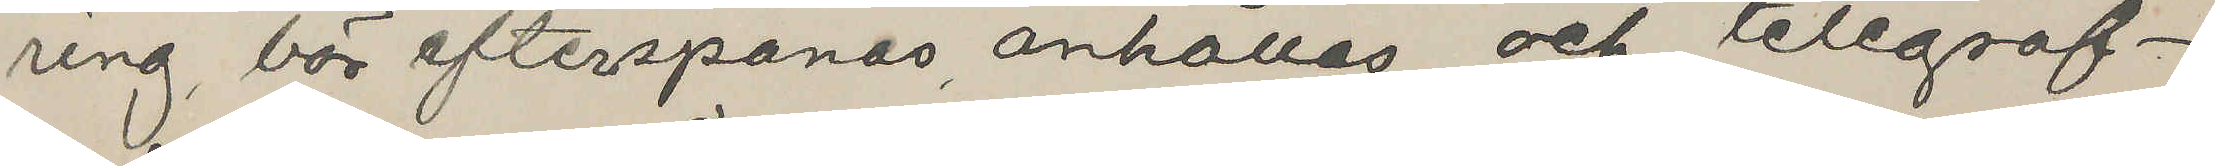ring, bör efterspanas, anhållas och telegraf¬
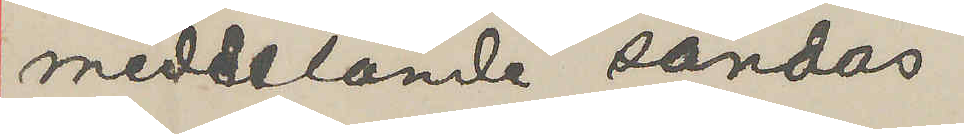meddelande sändas
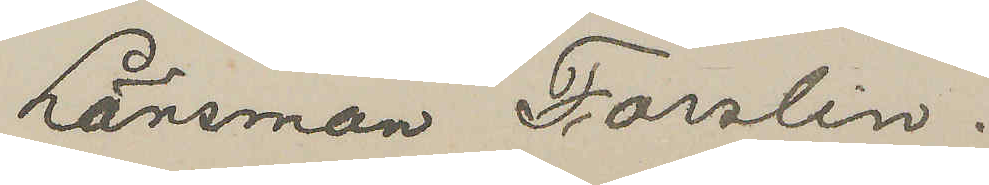Länsman Forslin.
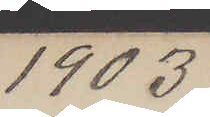1903
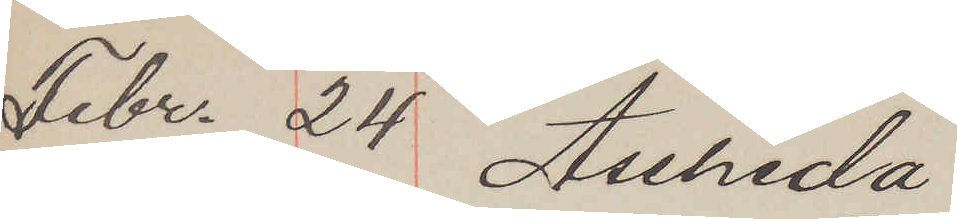Febr. 24 Åssheda
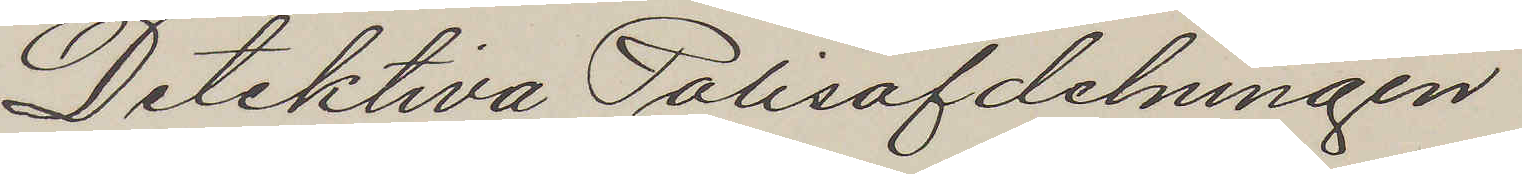Detektiva Polisafdelningen
